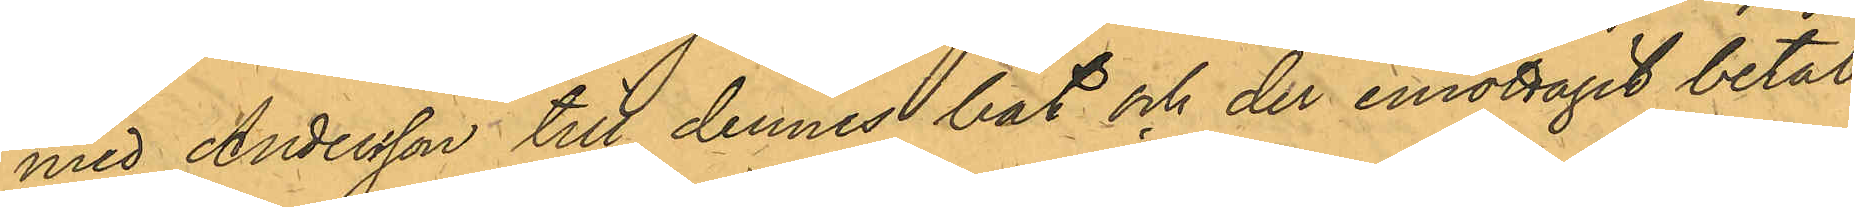med Andersson till dennes båt och der emottagit betal¬
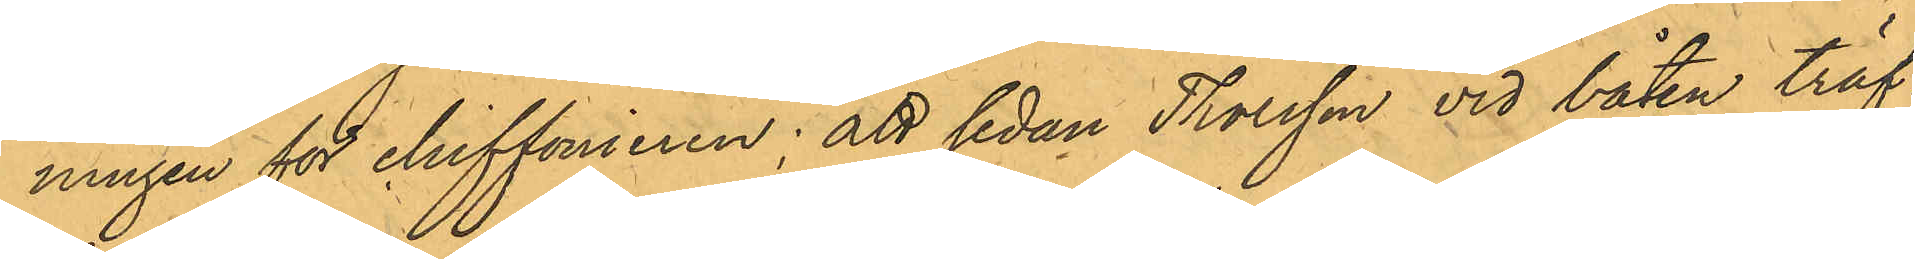ningen för chiffonieren; att sedan Thorsson vid båten träf¬
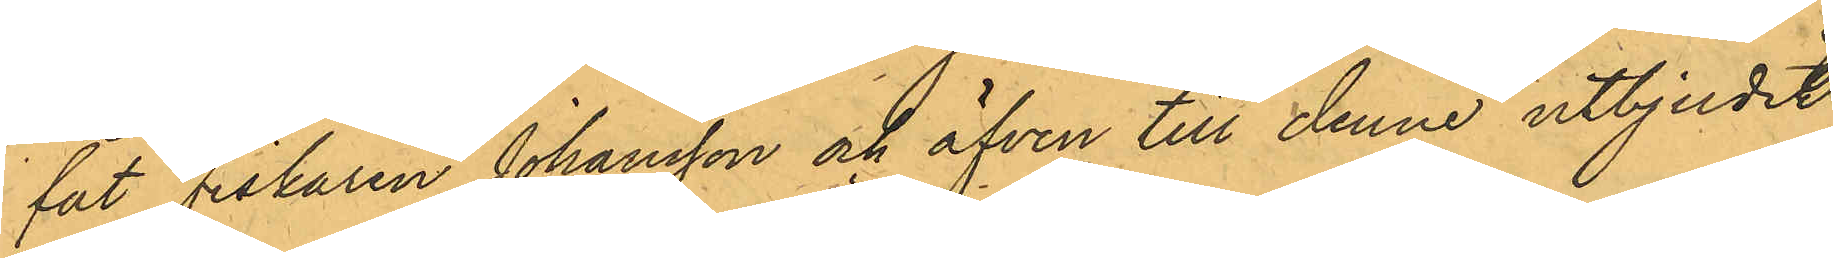fat Fiskaren Johansson och äfven till denne utbjudit
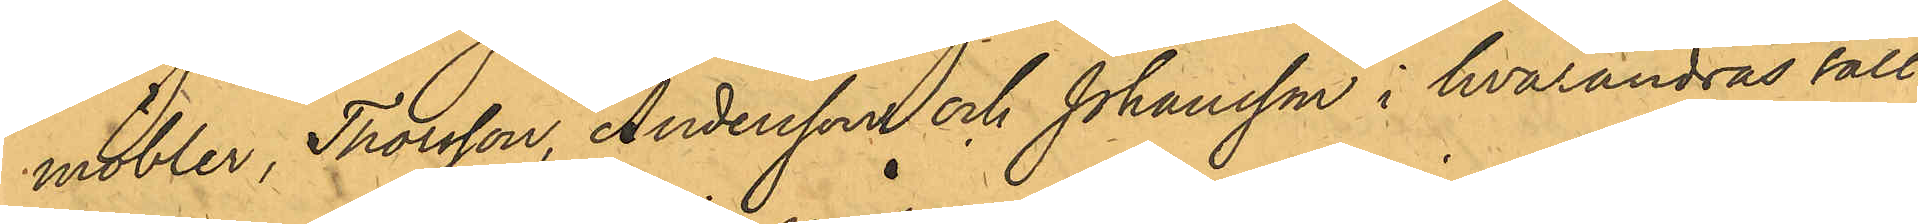möbler, Thorsson, Andersson och Johansson i hvarandras säll¬
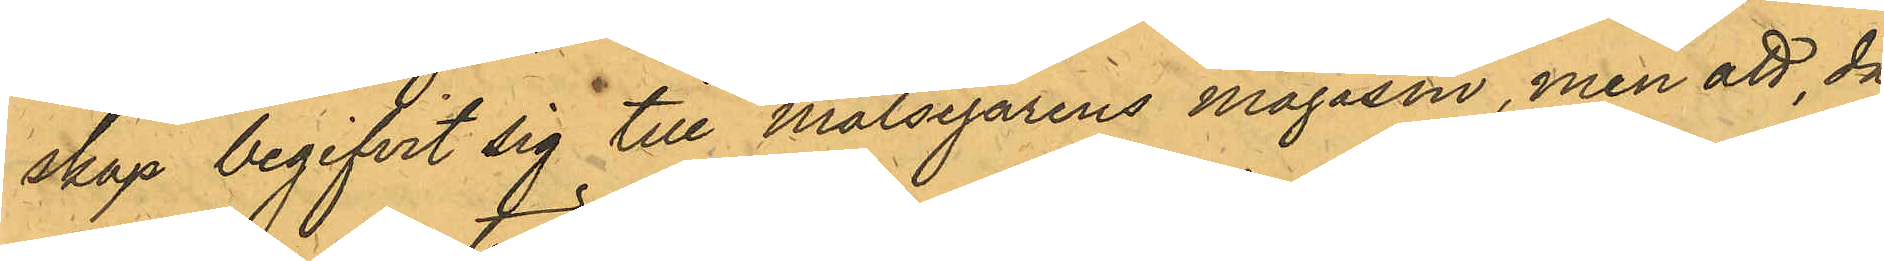skap begifvit sig till Målsegarens magasin, men att, då
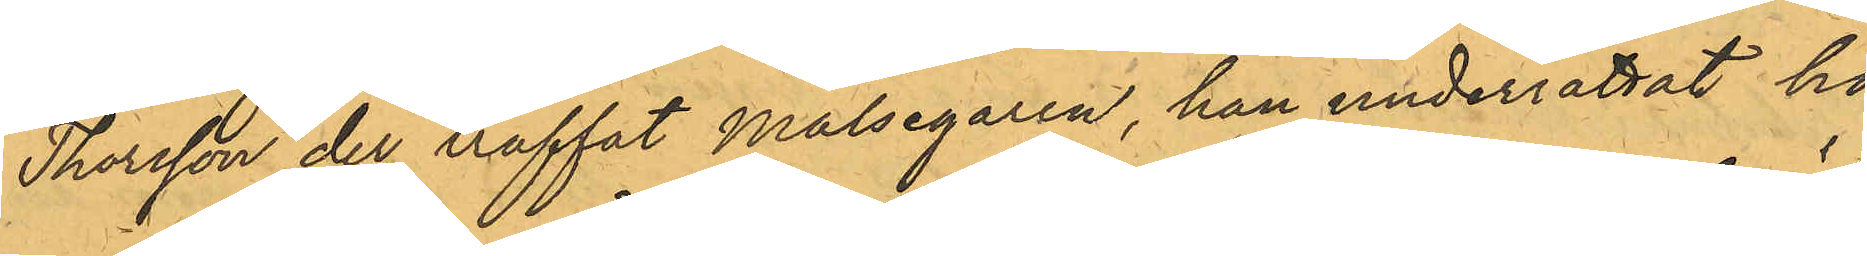Thorsson der träffat Målsegaren, han underrättat ho¬
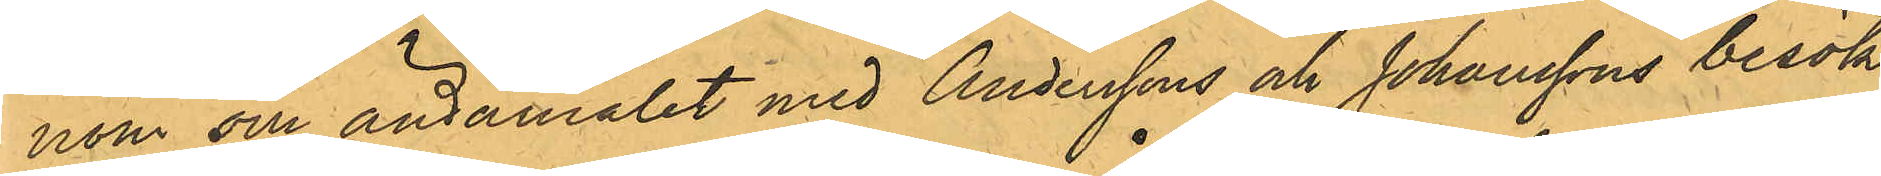nom om ändamålet med Anderssons och Johanssons besök,
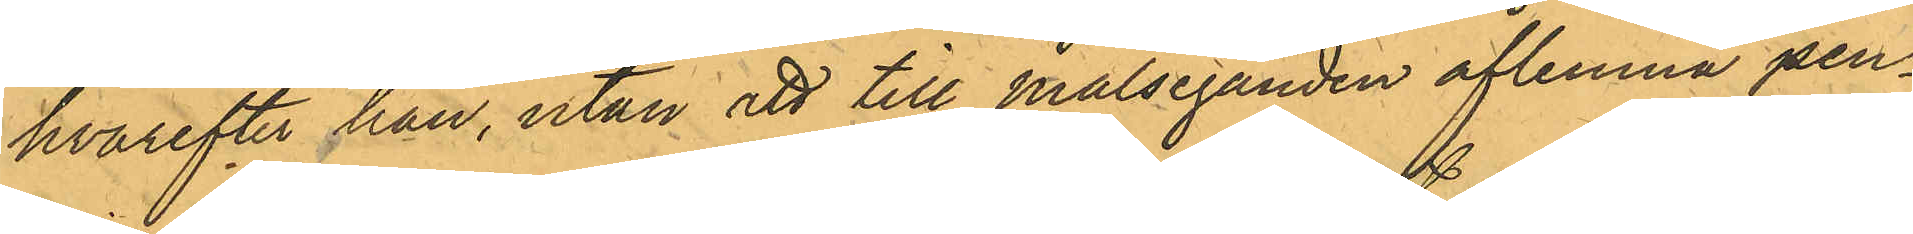hvarefter han, utan att till Målseganden aflemna pen¬
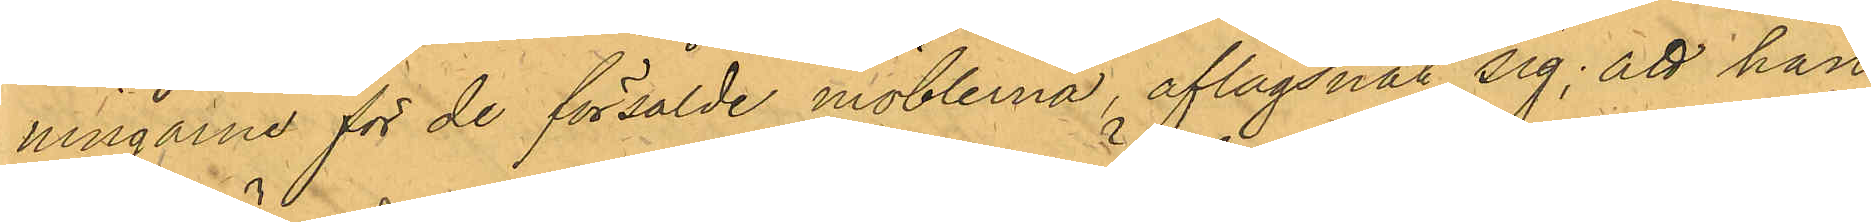ningarne för de försålde möblerna, aflägsnat sig; att han
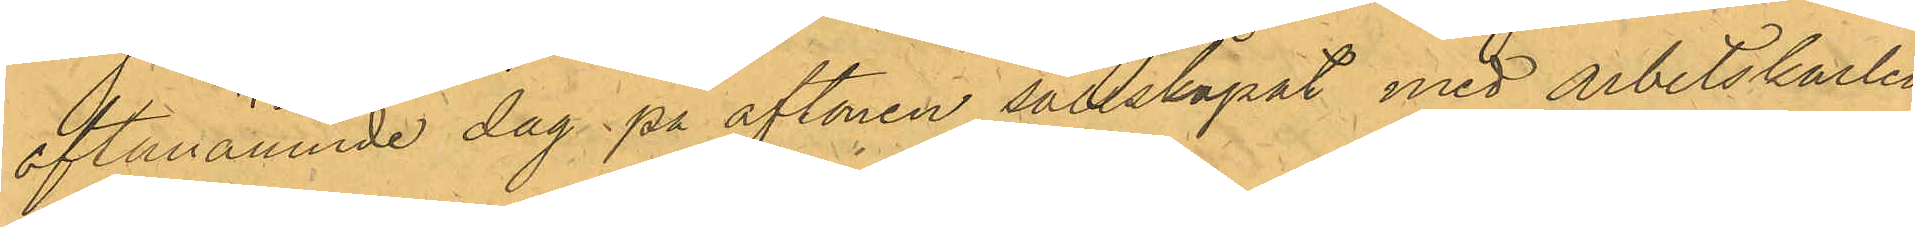oftanämnde dag på aftonen sällskapat med arbetskarlen
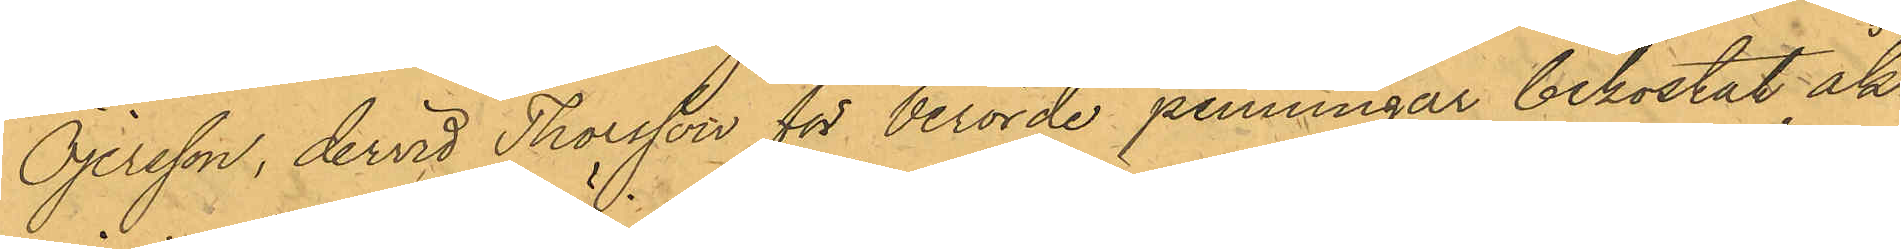Öjersson, dervid Thorsson för berörde penningar bekostat åk¬
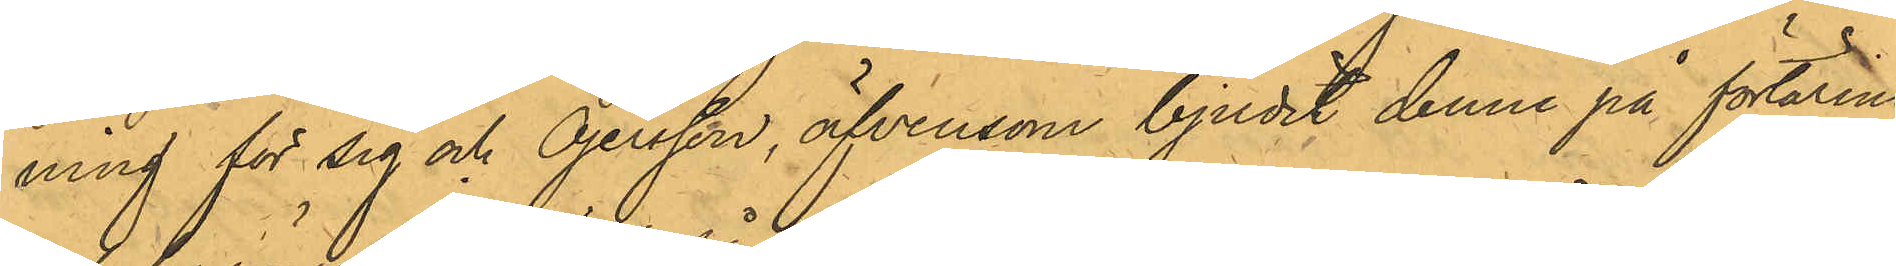ning för sig och Öjersson, äfvensom bjudit denne på förtäring
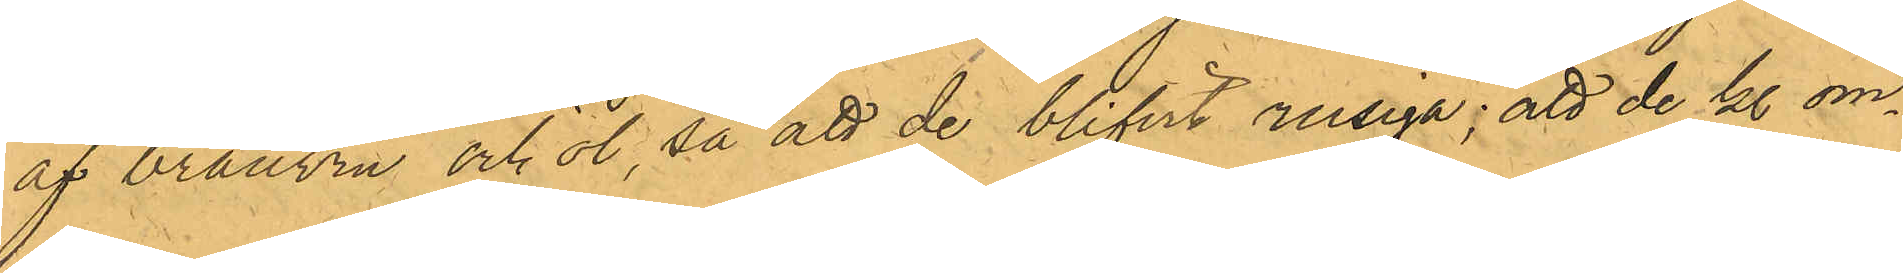af bränvin och öl, så att de blifvit rusiga; att de kl om¬
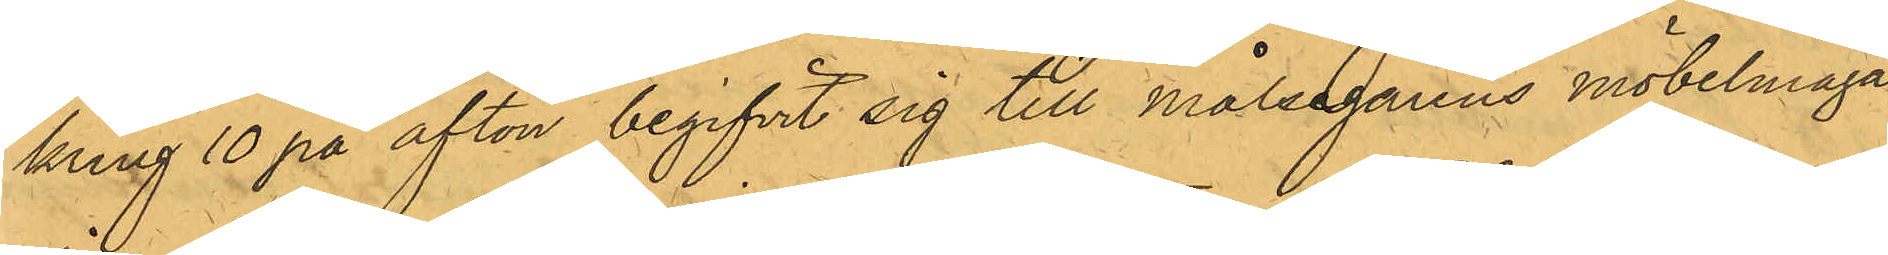kring 10 på afton begifvit sig till målsegarens möbelmaga¬
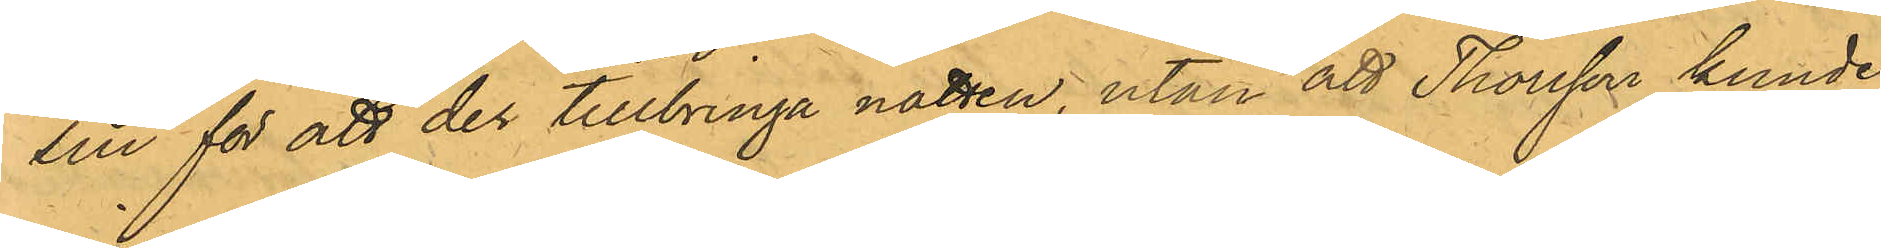sin för att der tillbringa natten, utan att Thorsson kunde
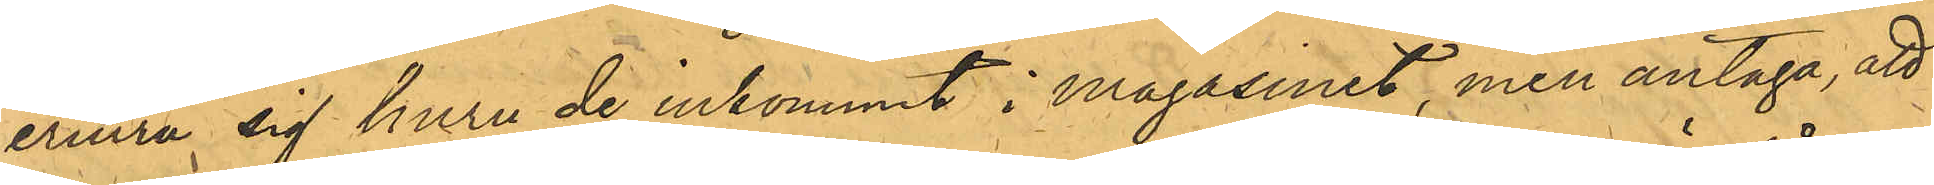erinra sig huru de inkommit i Magasinet, men antaga, att
